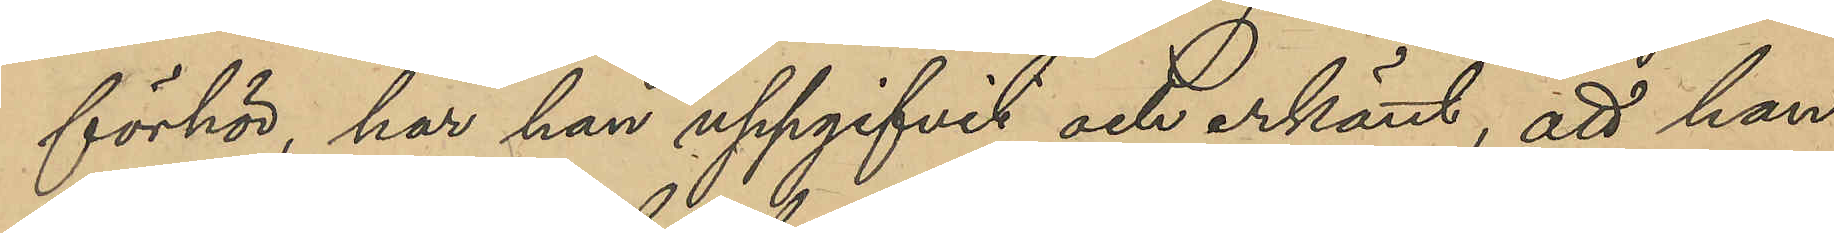förhör, har han uppgifvit och erkänt, att han
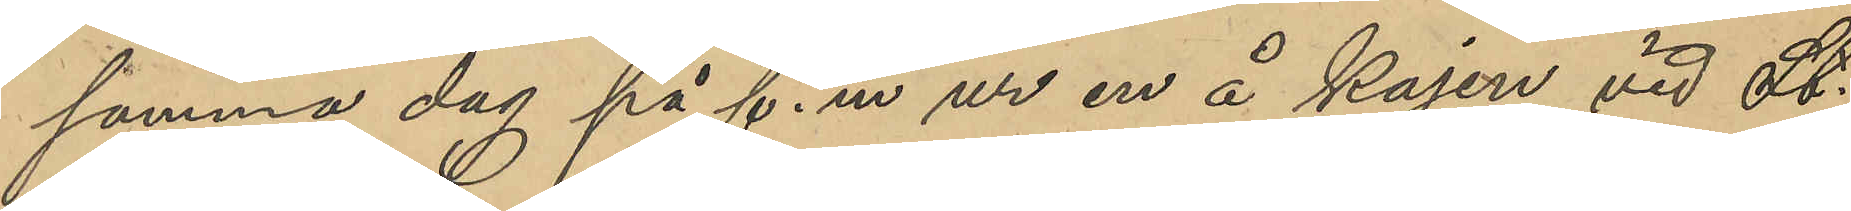samma dag på f.m. ur en å kajen vid St.
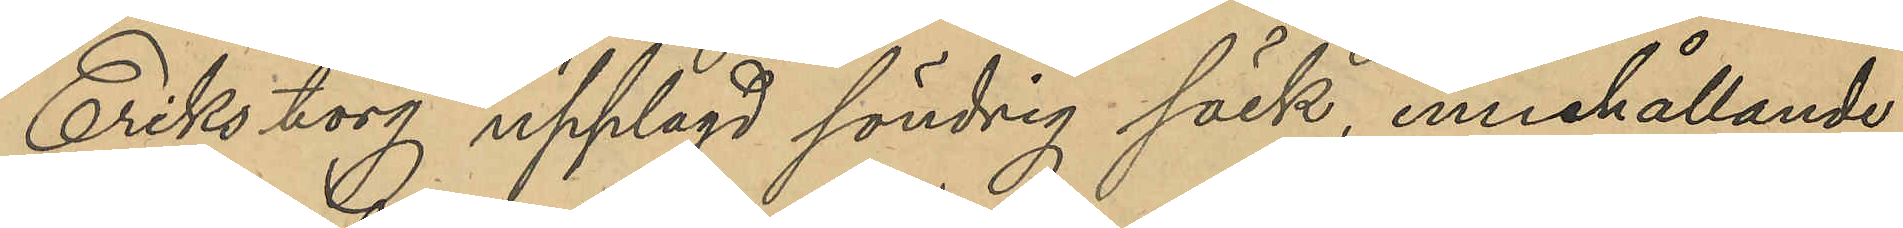Eriks torg upplagd söndrig säck, innehållande
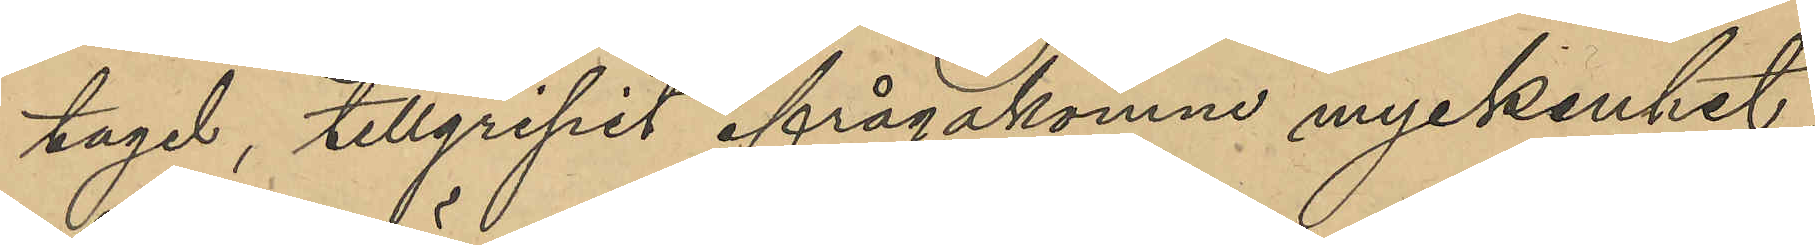tagel, tillgripit ifrågakomne myckenhet,
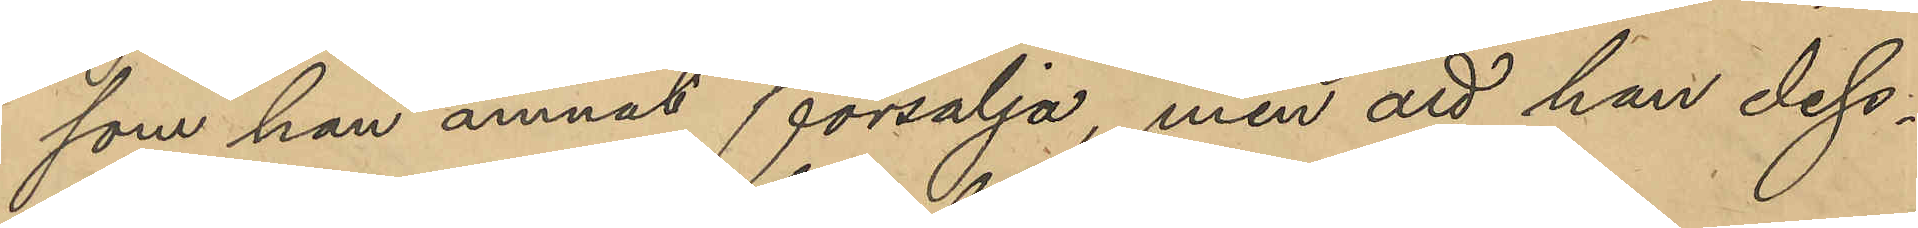som han ämnat försälja, men att han dess¬
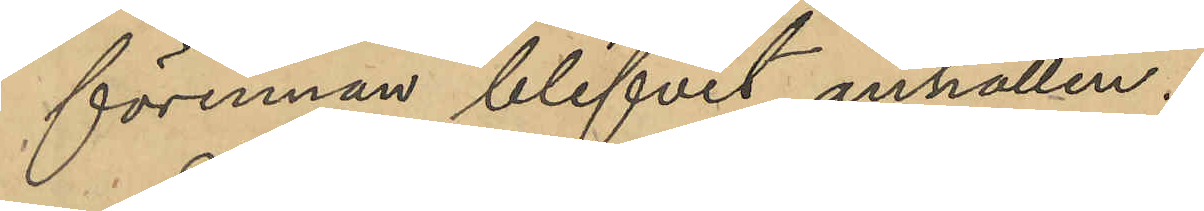förinnan blifvit anhållen.
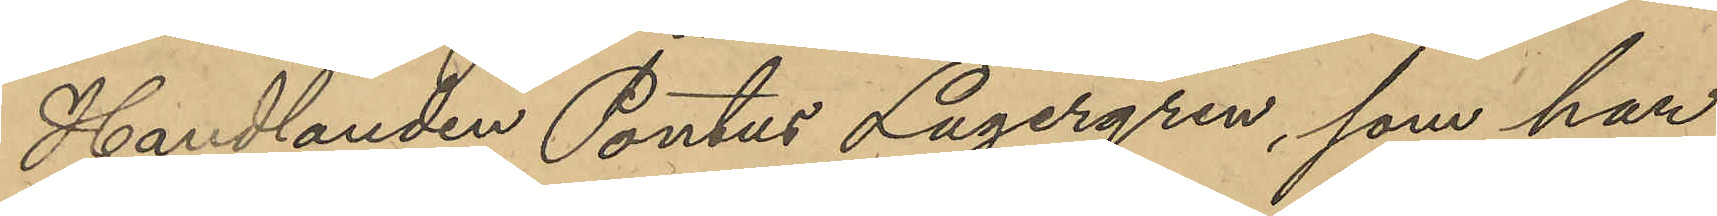Handlanden Pontus Lagergren, som har
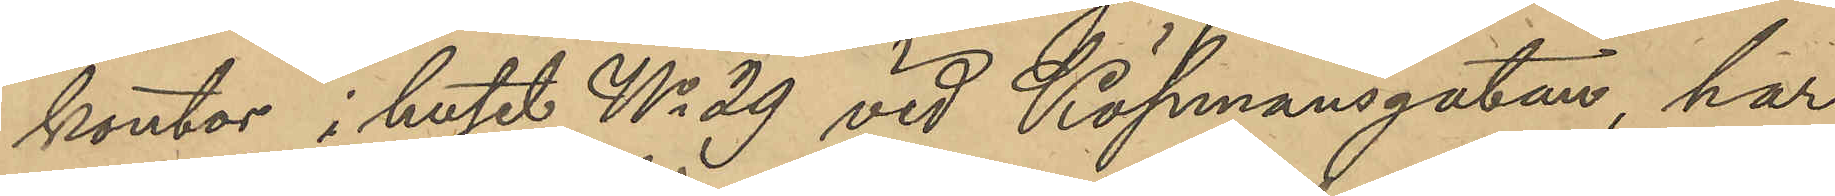kontor i huset No 29 vid Köpmansgatan, har
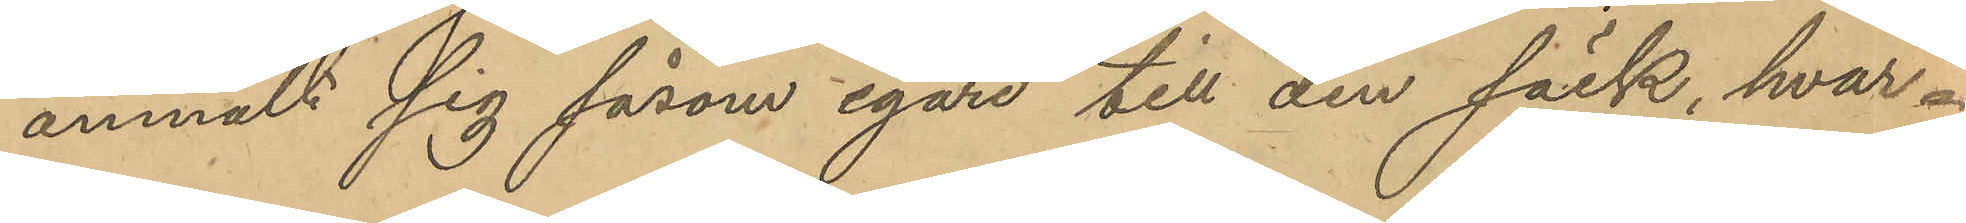anmält sig såsom egare till den säck, hvar¬
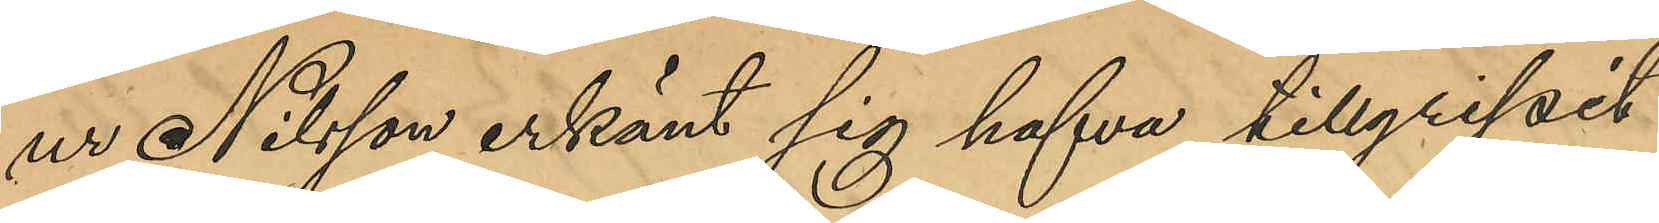ur Nilson erkänt sig hafva tillgripit
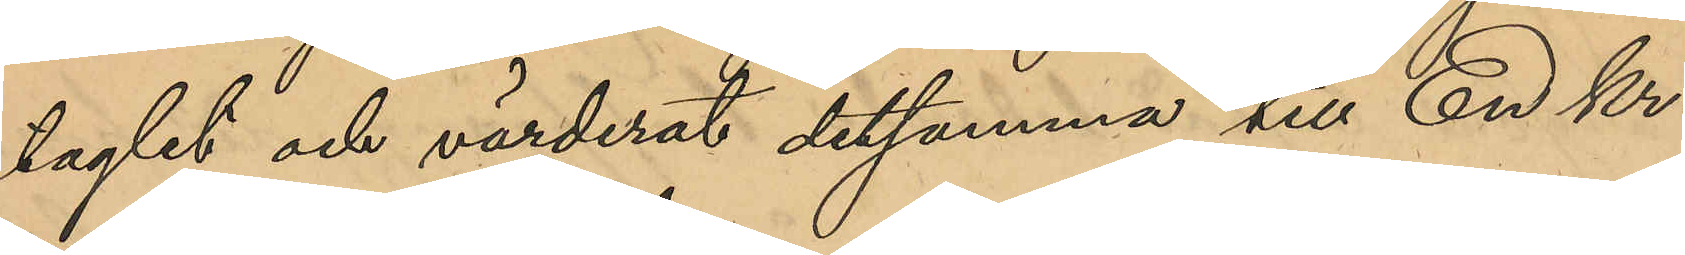taglet och värderat detsamma till En kr.
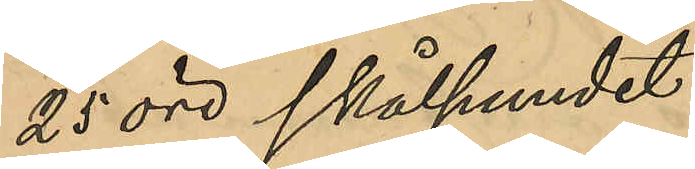25 öre skålpundet.
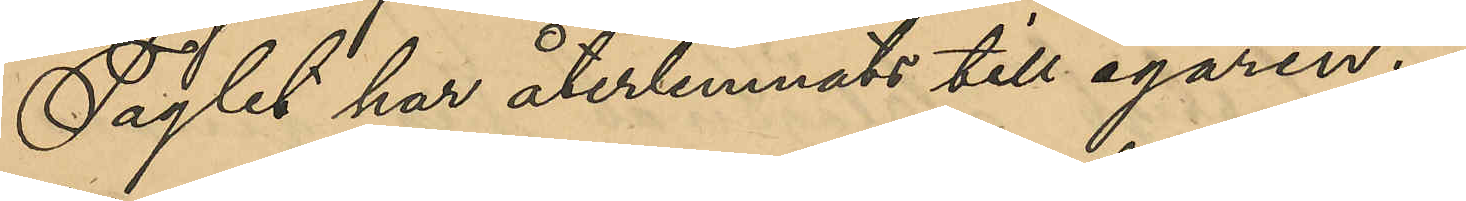Taglet har återlemnats till egaren.
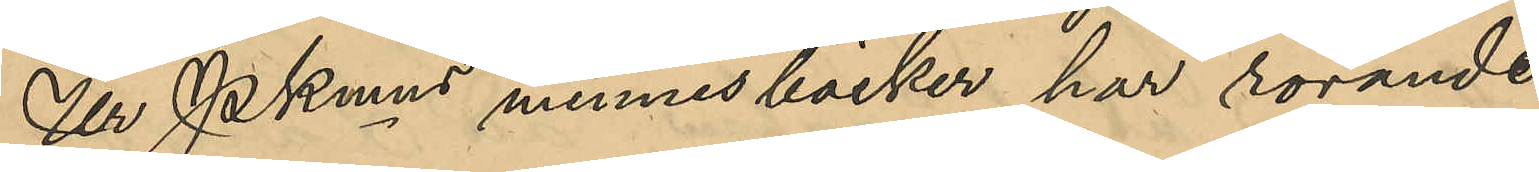Ur PKmns minnesböcker har rörande
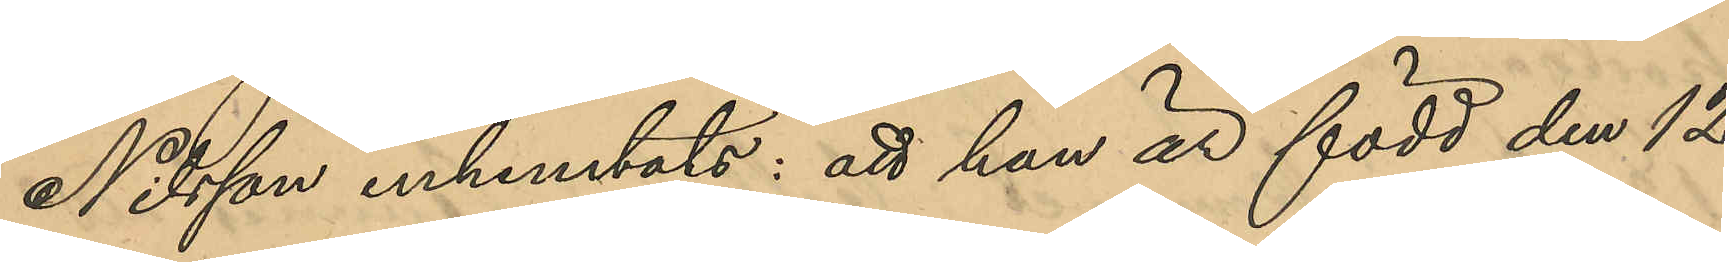Nilsson inhemtats: att han är född den 12
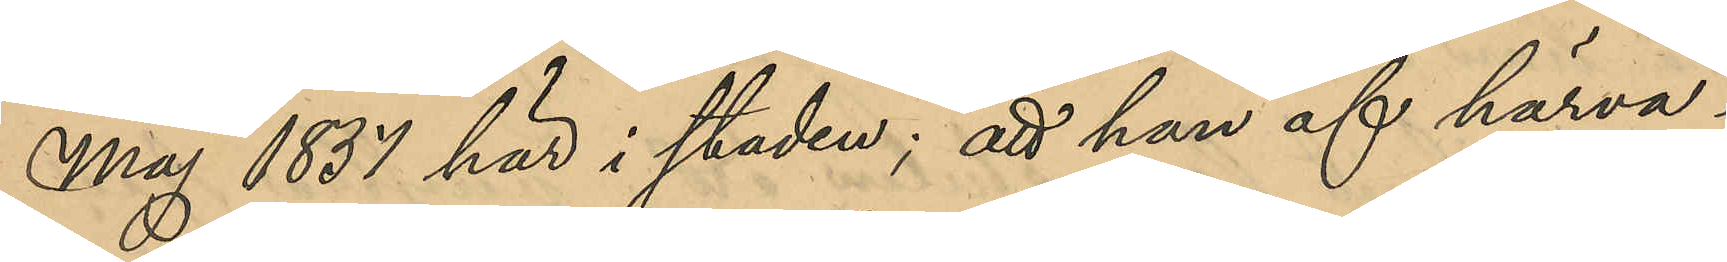Maj 1837 här i staden; att han af härva¬
